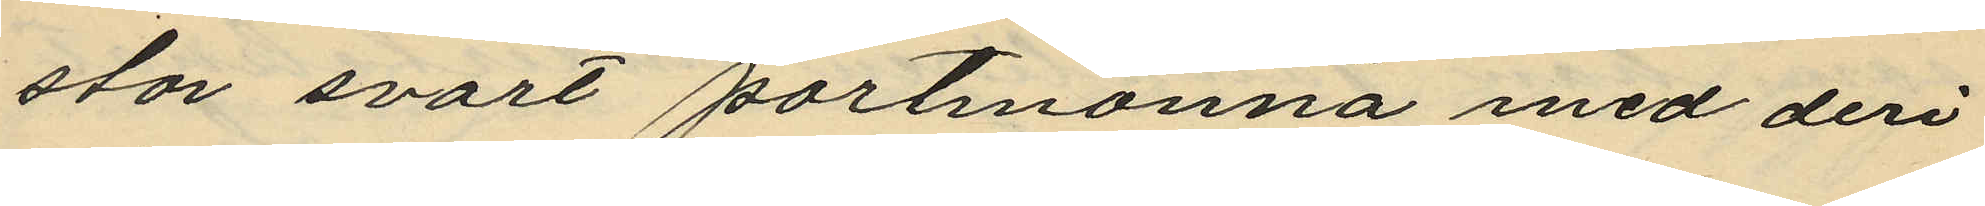stor svart portmonnä med deri
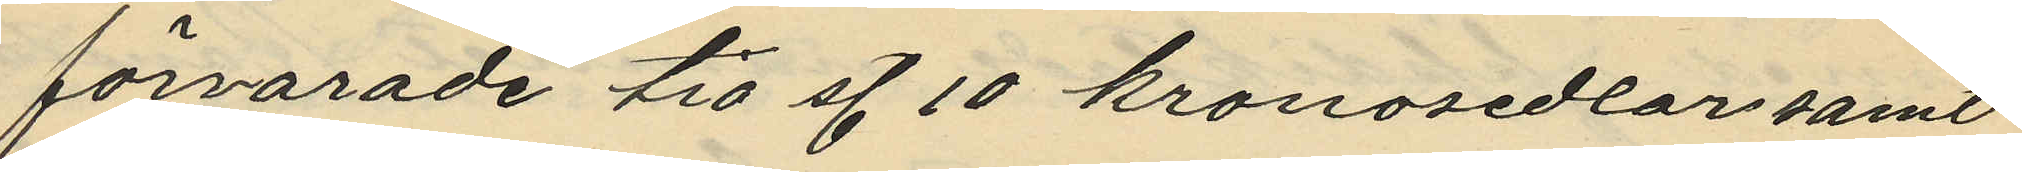förvarade tio st. 10 kronosedlar samt
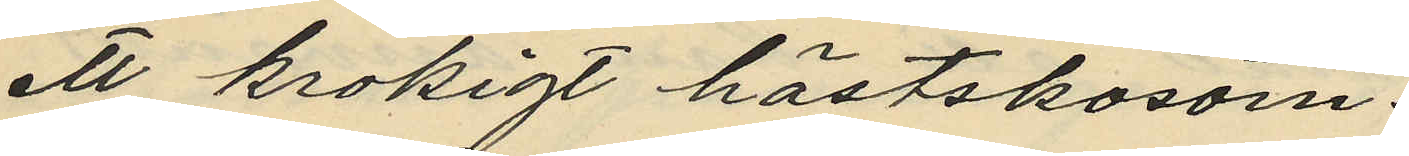ett krokigt hästskosöm.
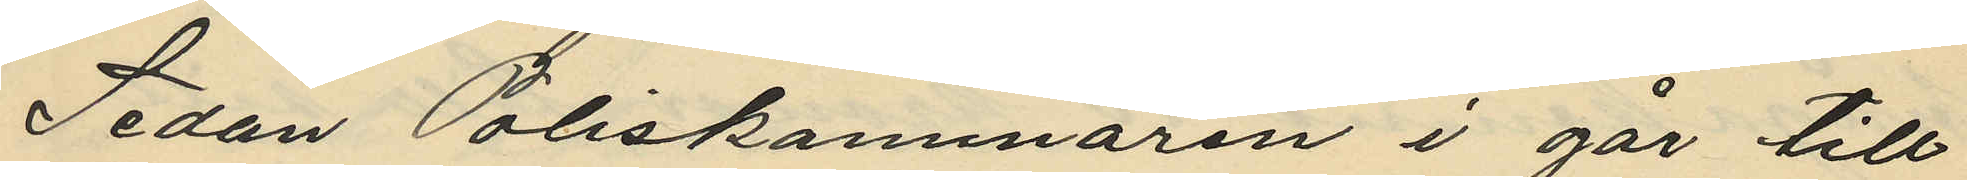Sedan Poliskammaren i går till
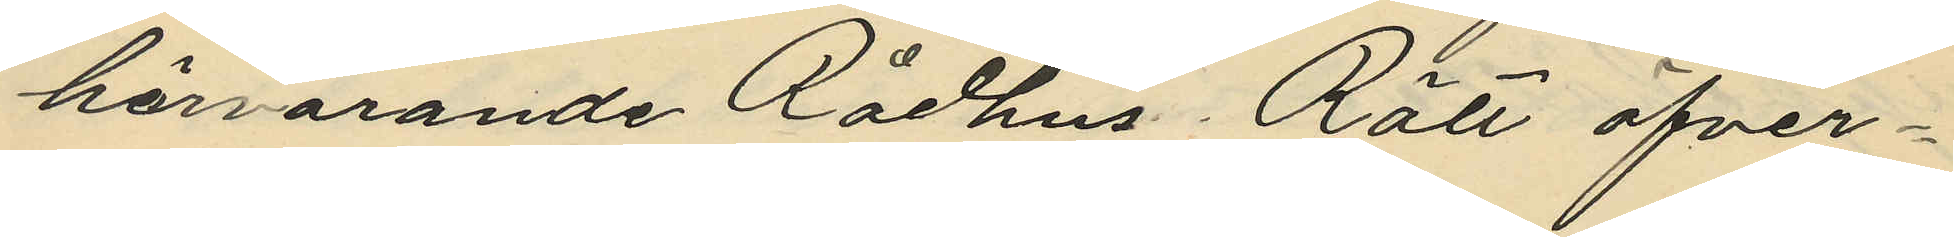härvarande Rådhus Rätt öfver¬
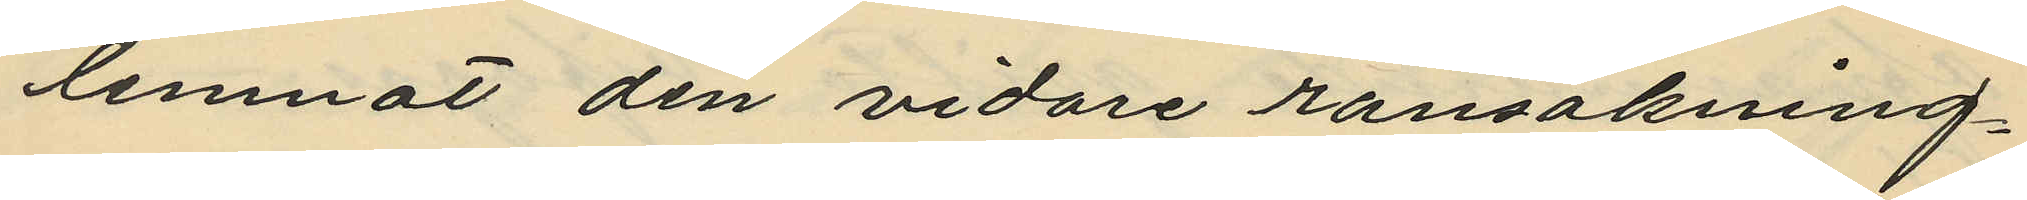lemnat den vidare ransakning¬
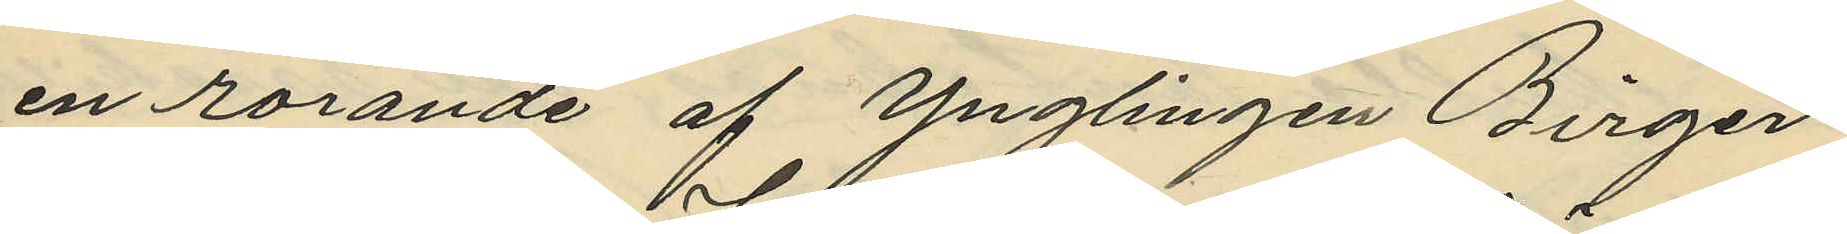en rörande af Ynglingen Birger
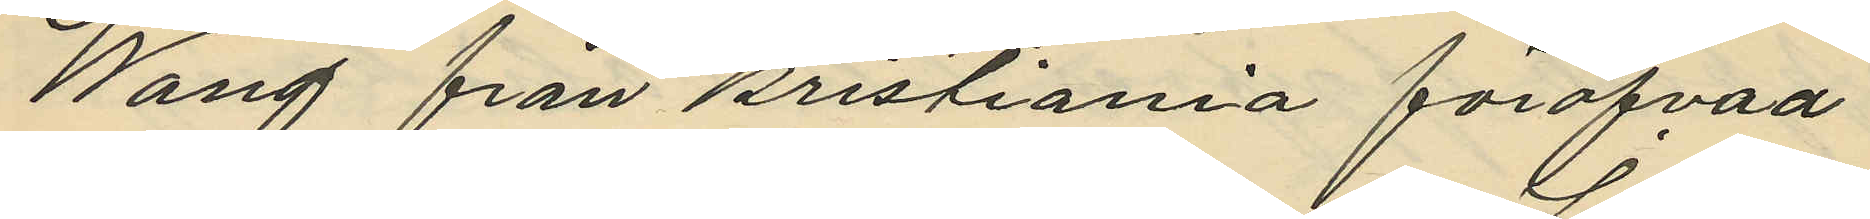Wang från Kristiania föröfvad
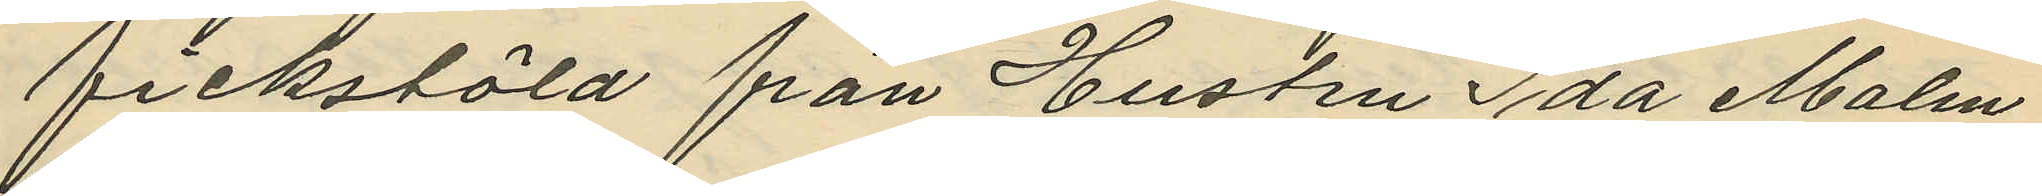fickstöld från Hustru Ida Malm
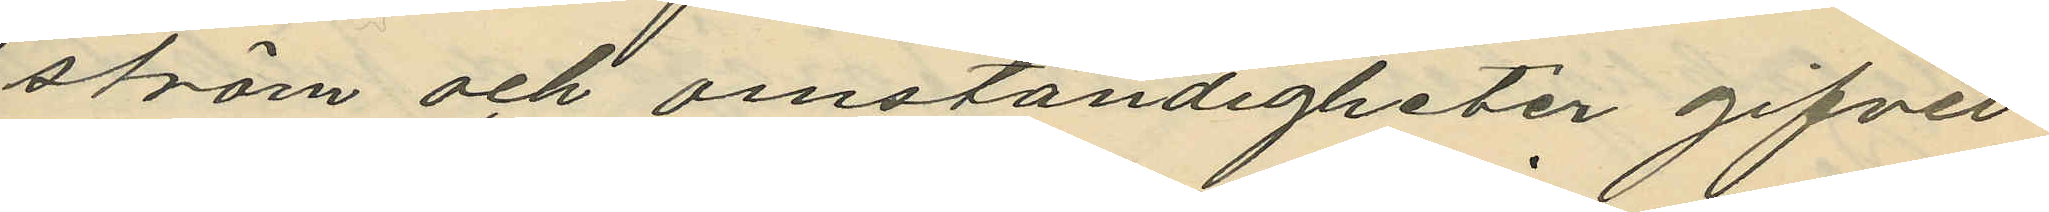ström och omständigheter gifvet
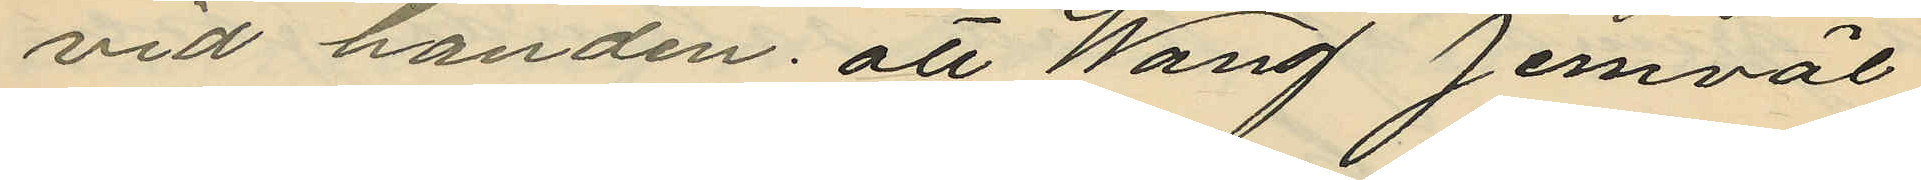vid handen att Wang jemväl
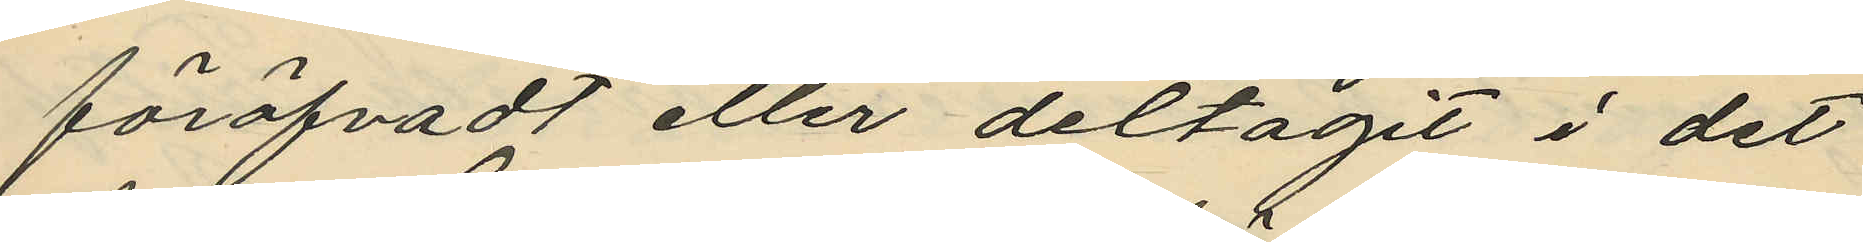föröfvadt eller deltagit i det
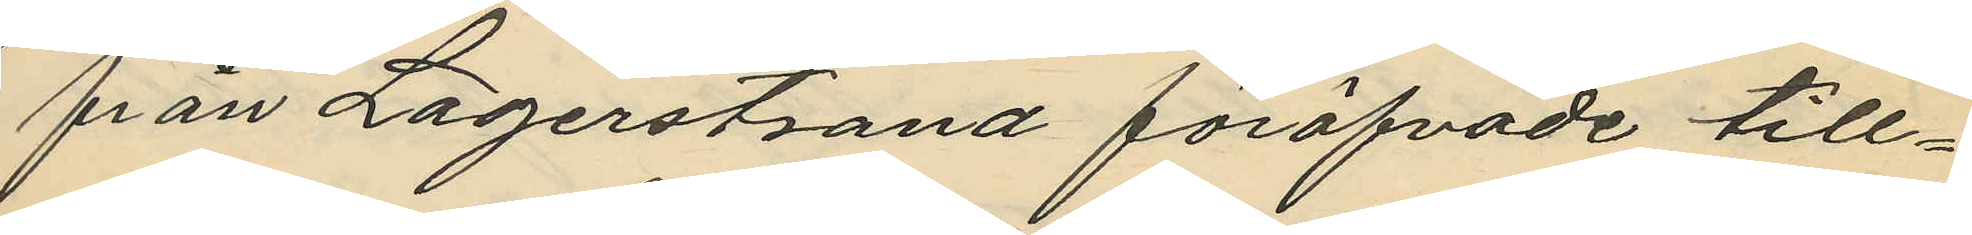från Lagerstrand föröfvade till¬
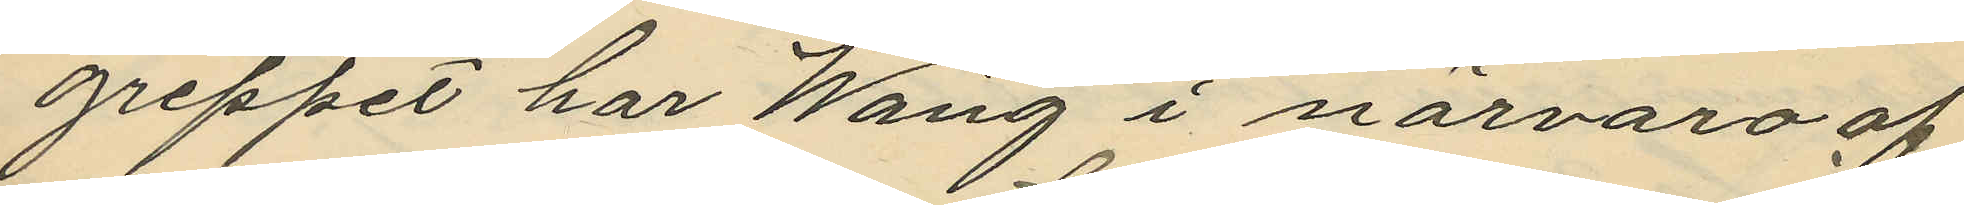greppet har Wang i närvaro af
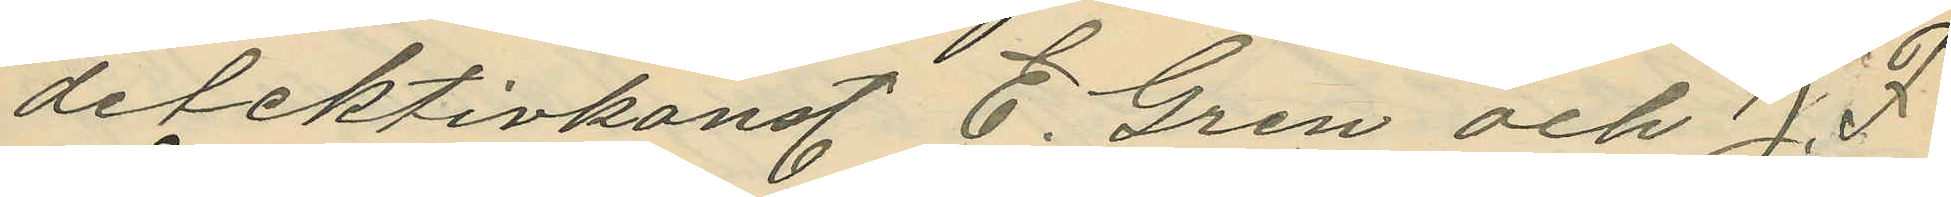detektivkonst. E. Gren och J. F
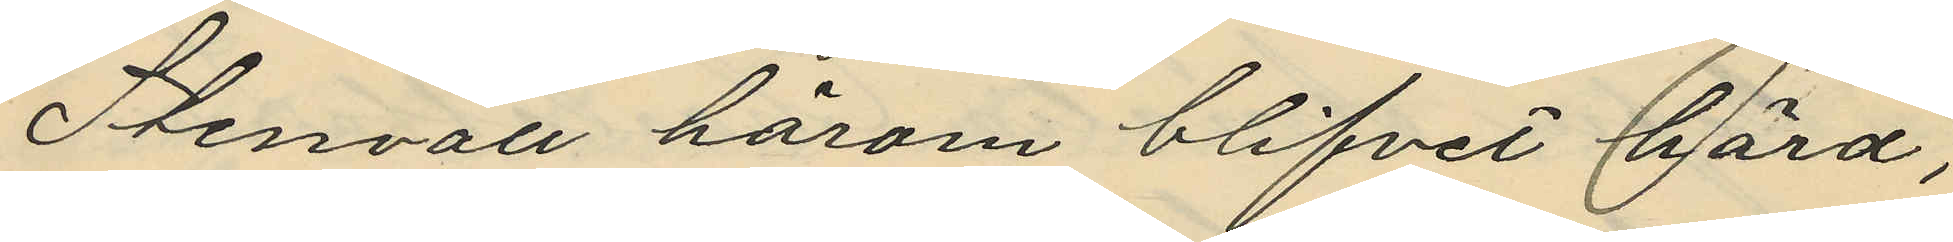Stenvall härom blifvit hörd,
